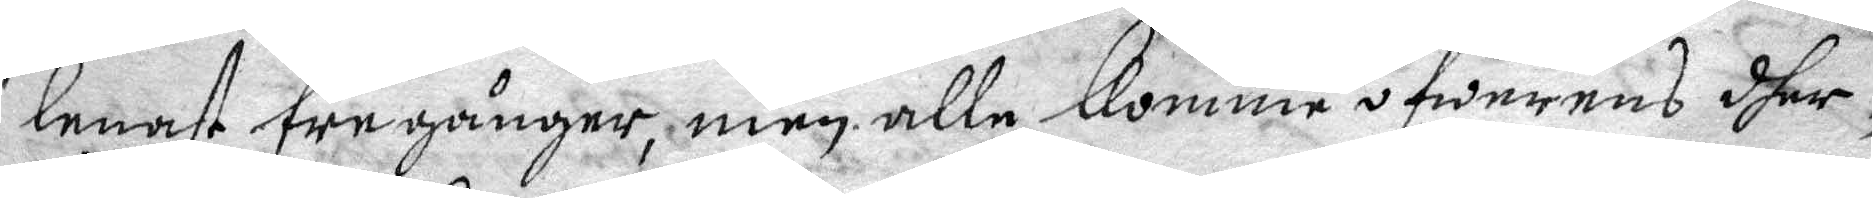lenast tre gånger, men alle komme öfwerens dher
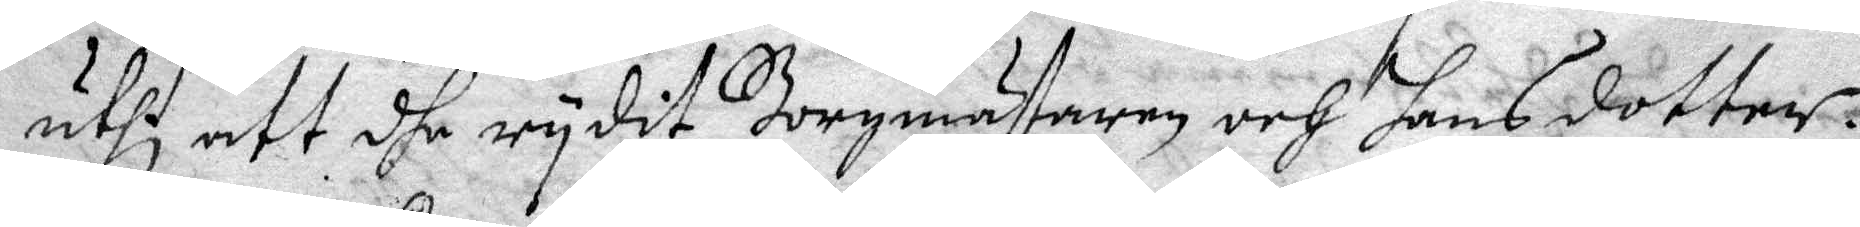uthi att dhe rydit Borgmästaren och hans dotter.
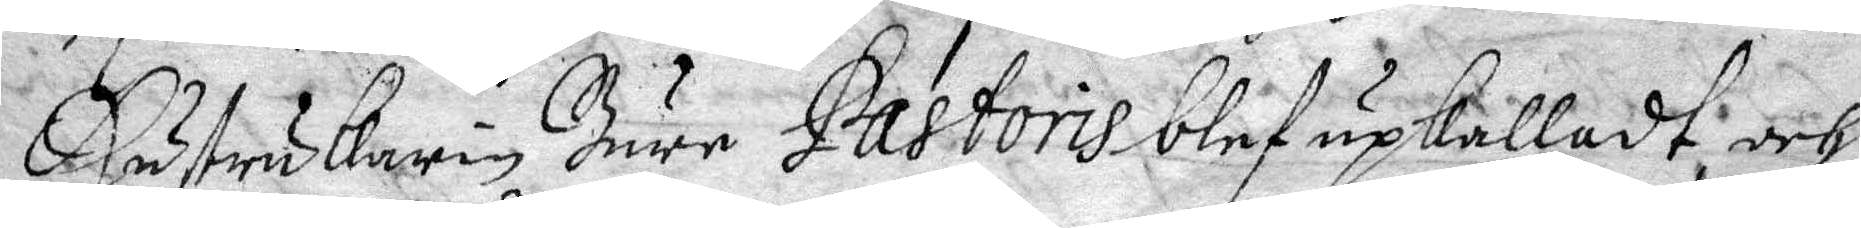Hustru Karin Bure Pastoris blef upkalladt och
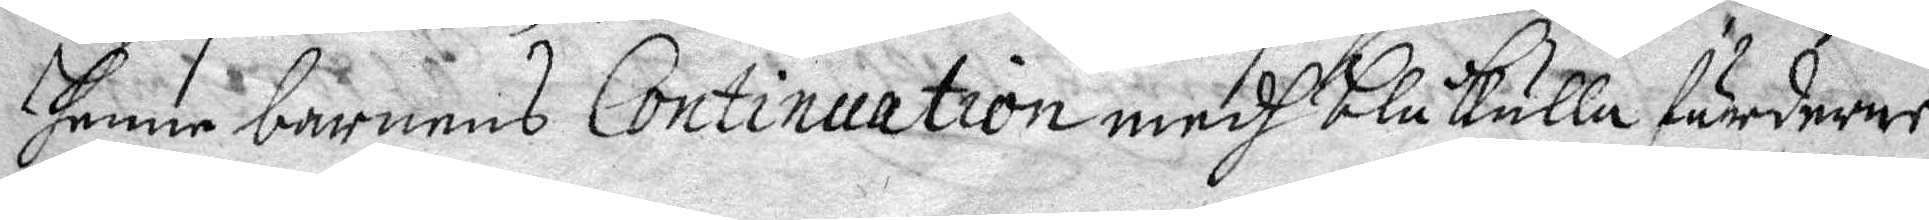henne barnens Continuation medh blåkulla färderne
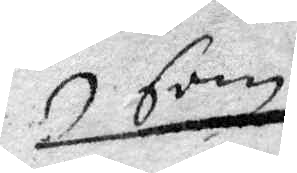som
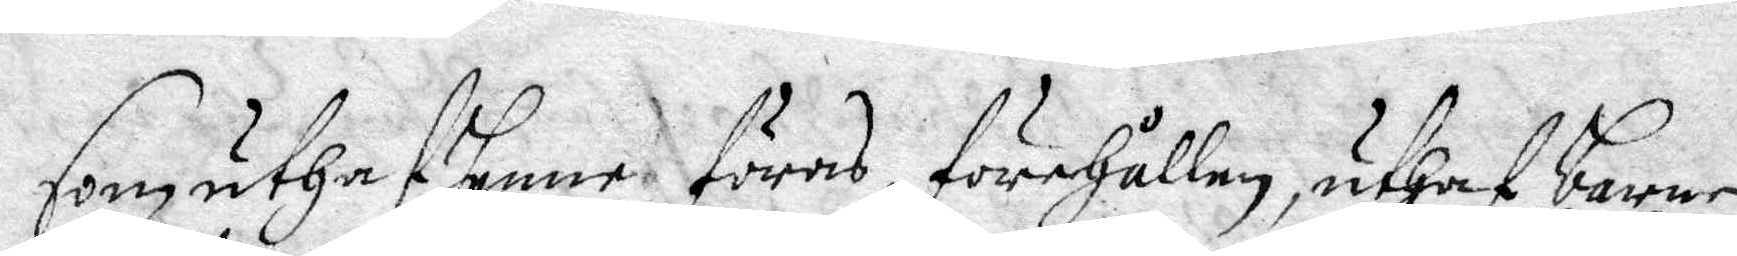som uthaf henne föres, förehållen, uthaf barnen
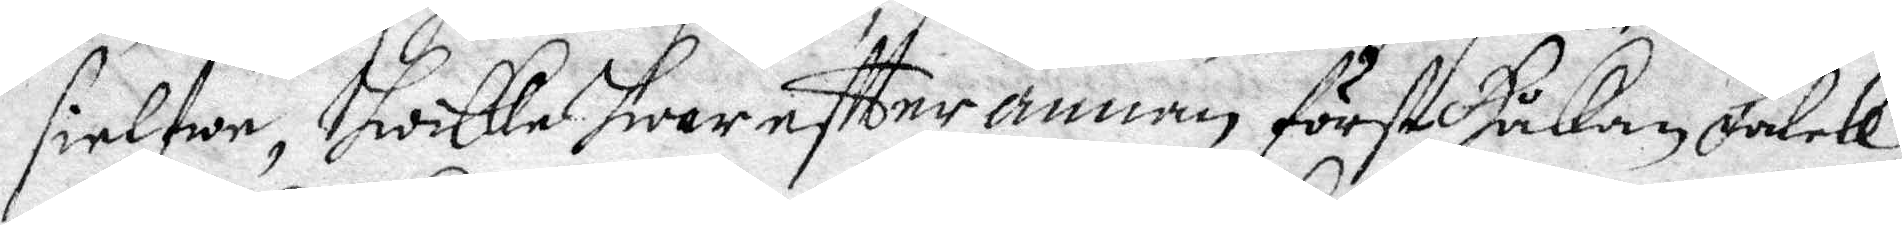sielfwe, hwilke hwar eftter annan först Håkan Falck,
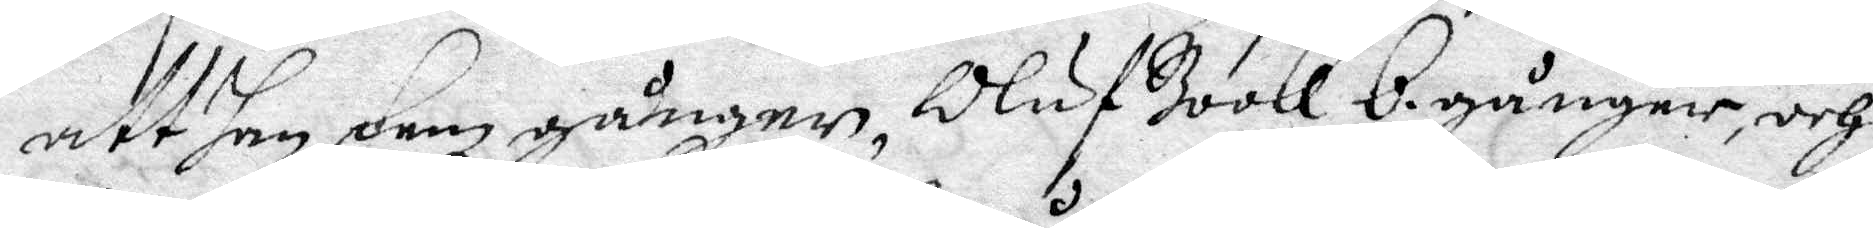att han fem gånger, Oluf Book 6 gånger, och 
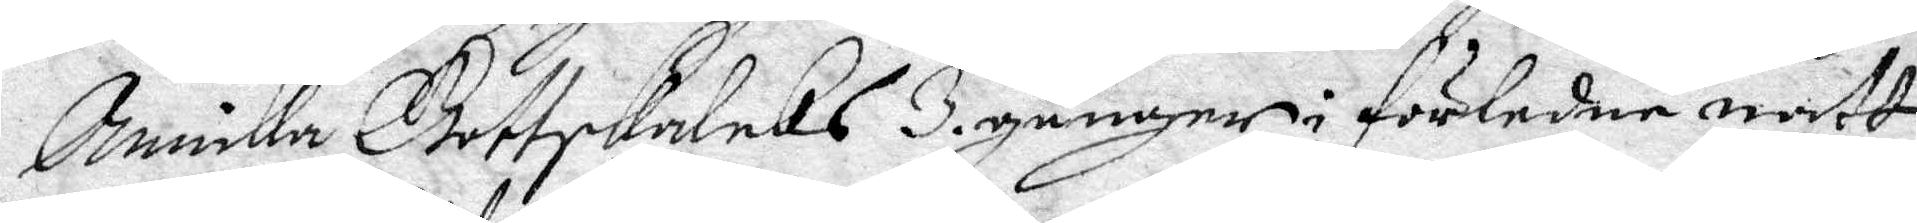Annika Gottskalcks 3 gånger i förledne natt
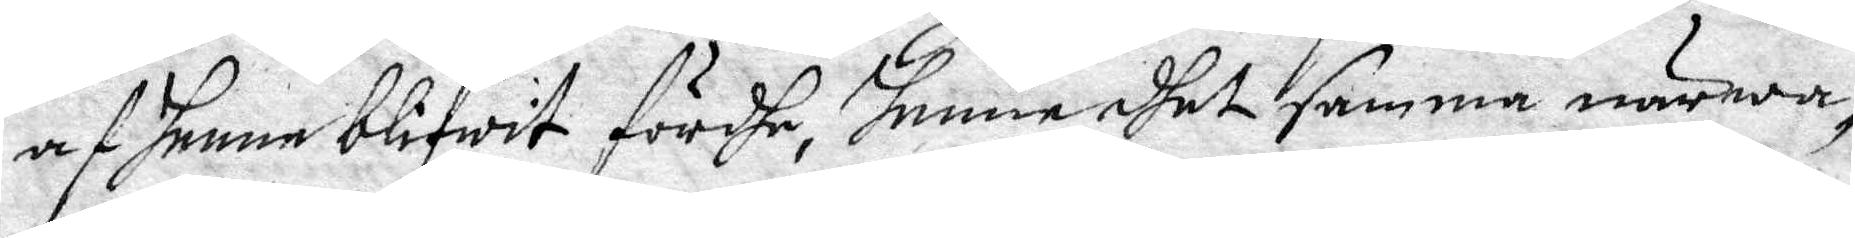af henne blifwit fördhe, henne dhet samma närwa¬
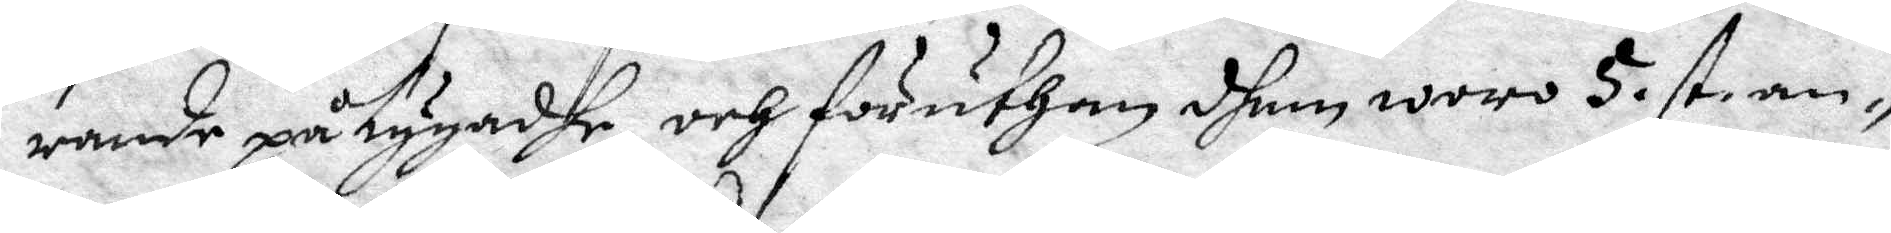rande påtygandhe, och föruthan dhem woro 5 st an¬
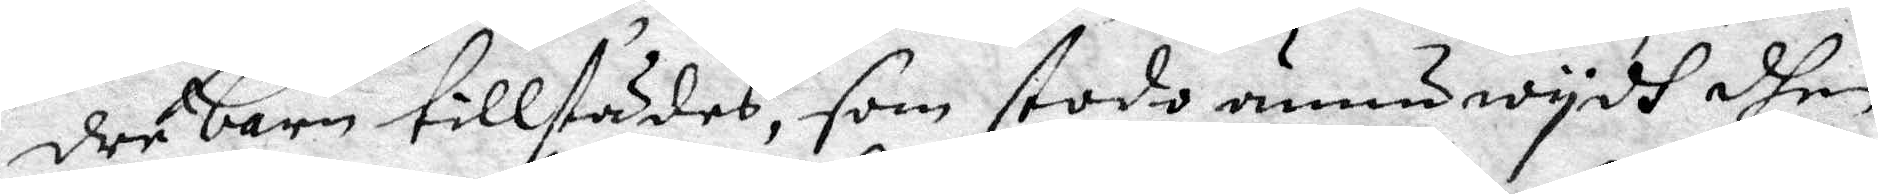dre barn tillstädes, som stodo ännu wydh dhen
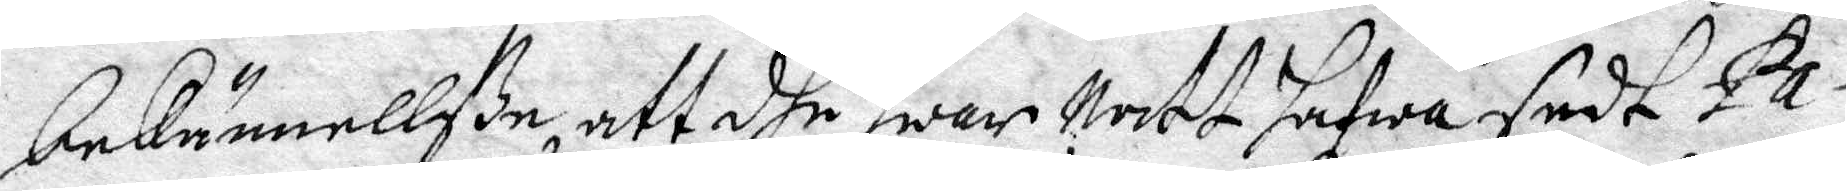bekännelße, att dhe hwar Natt hafwa sedt Pa¬
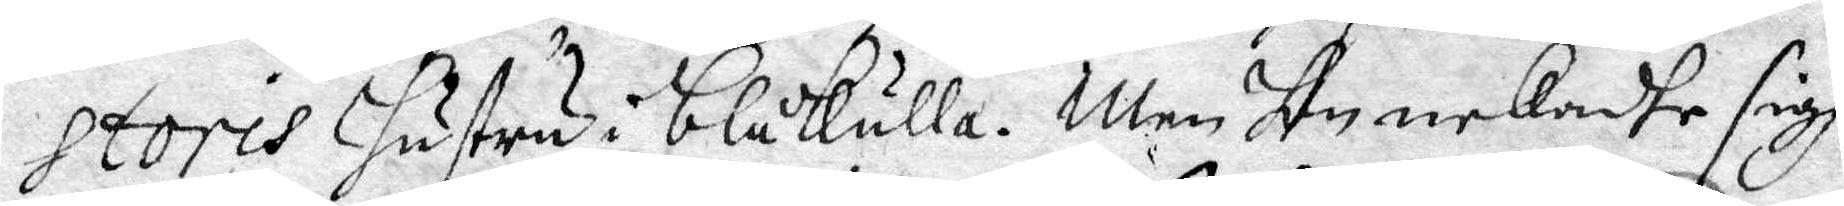storis hustru i blåkulla. Men hon nekade sigh
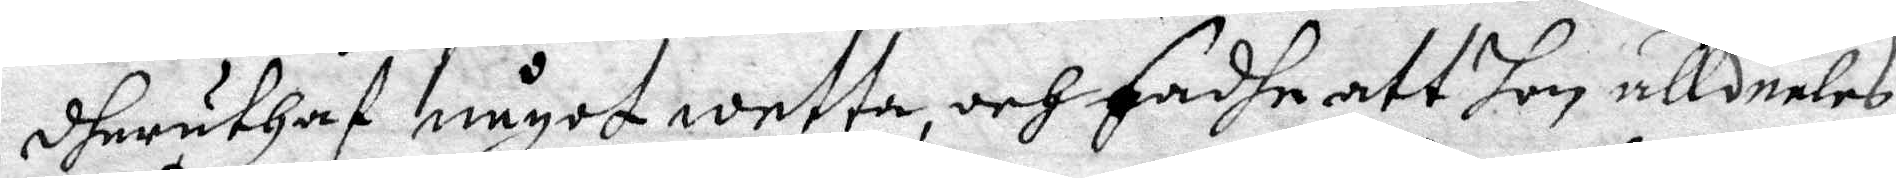dheruthaf något wetta, och sadhe att hon alldeles
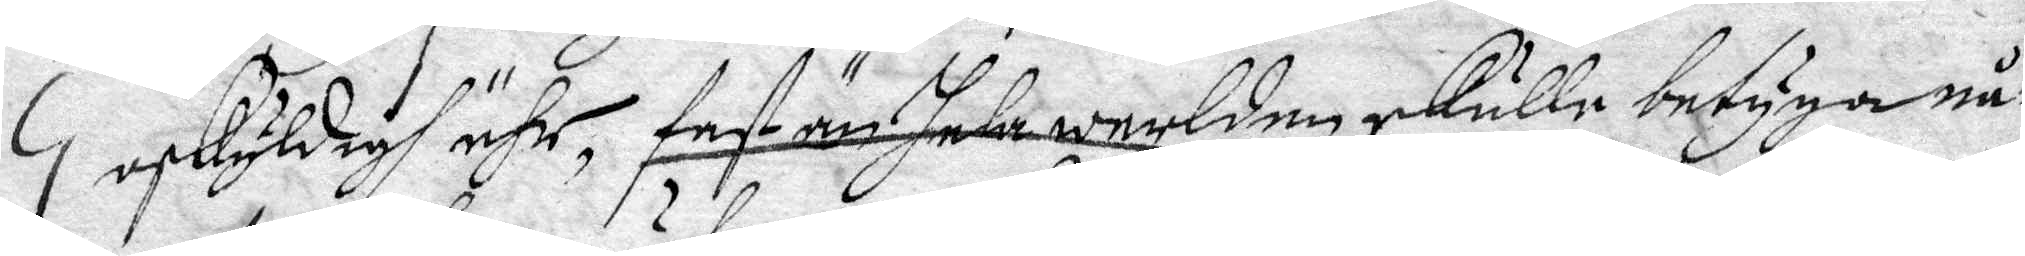oskyldigh ähr, fast än hela werlden skulle betyga nå¬
